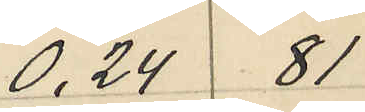0,24 81
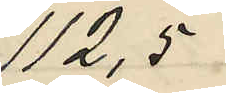112,5
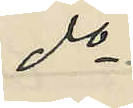do
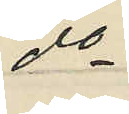do
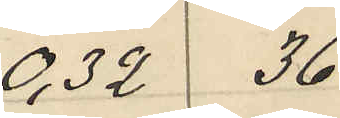0,32 36
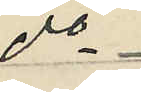do
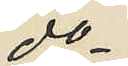do
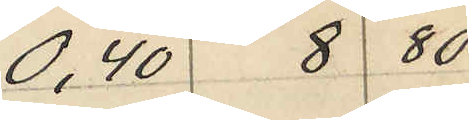0,40 8 80
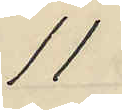11
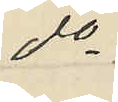do
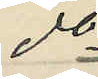do
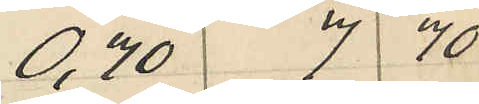0,70 7 70
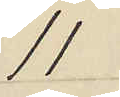11
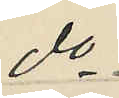do
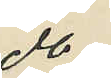do
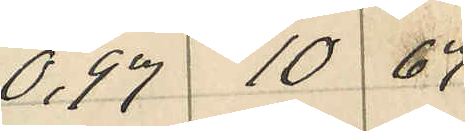0,97 10 67
